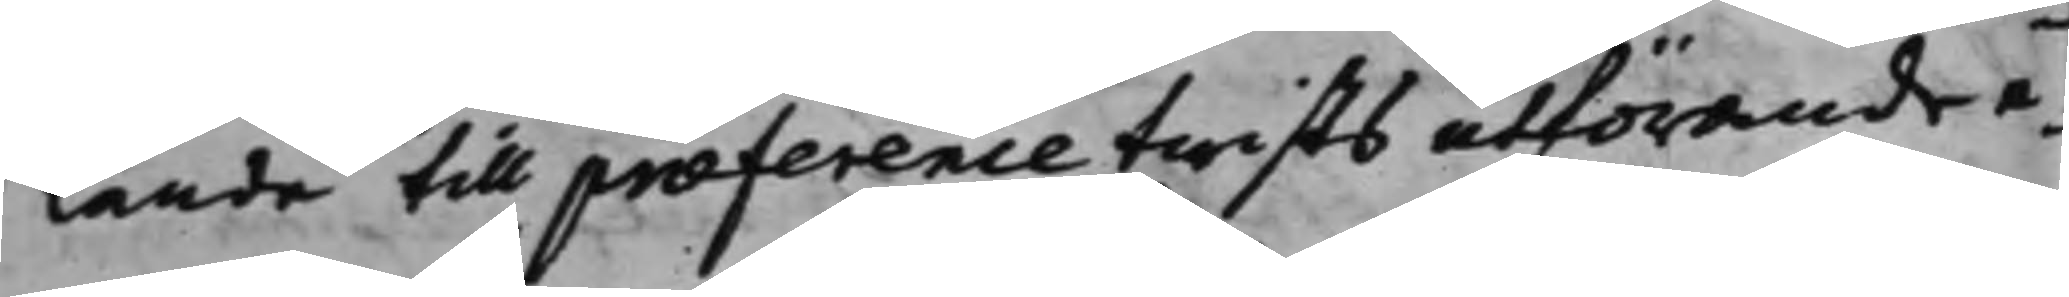lande till præference twists utförande e¬
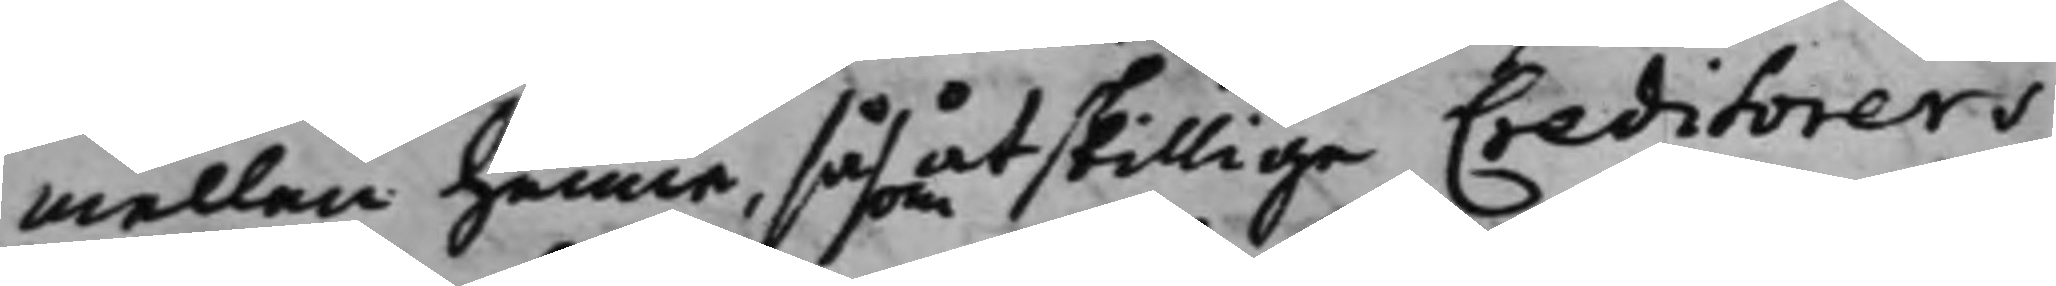mellan henne, såsom åtskillige Creditorers
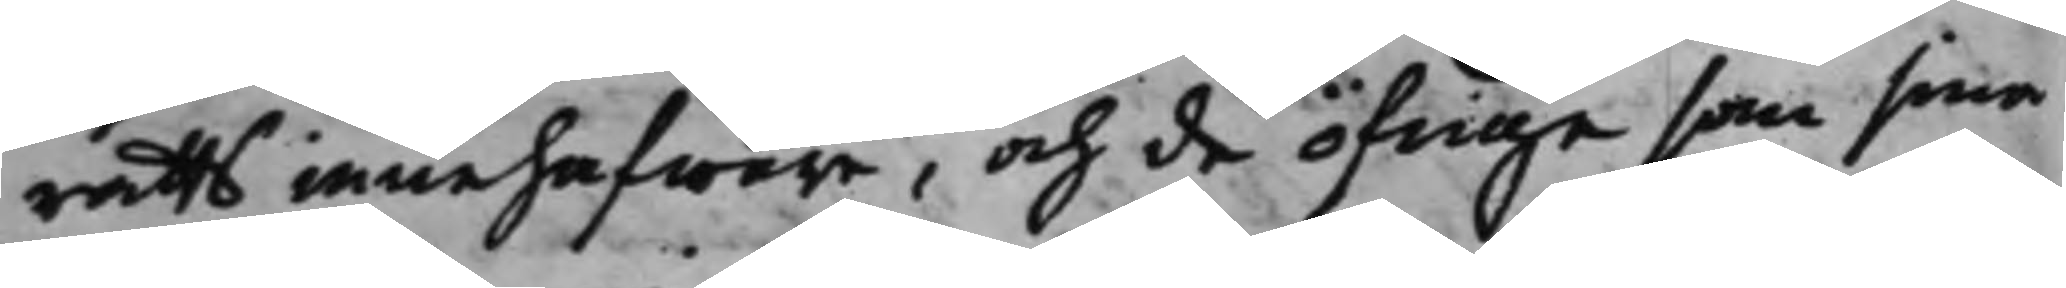rätts innehafware, och de öfrige som sina
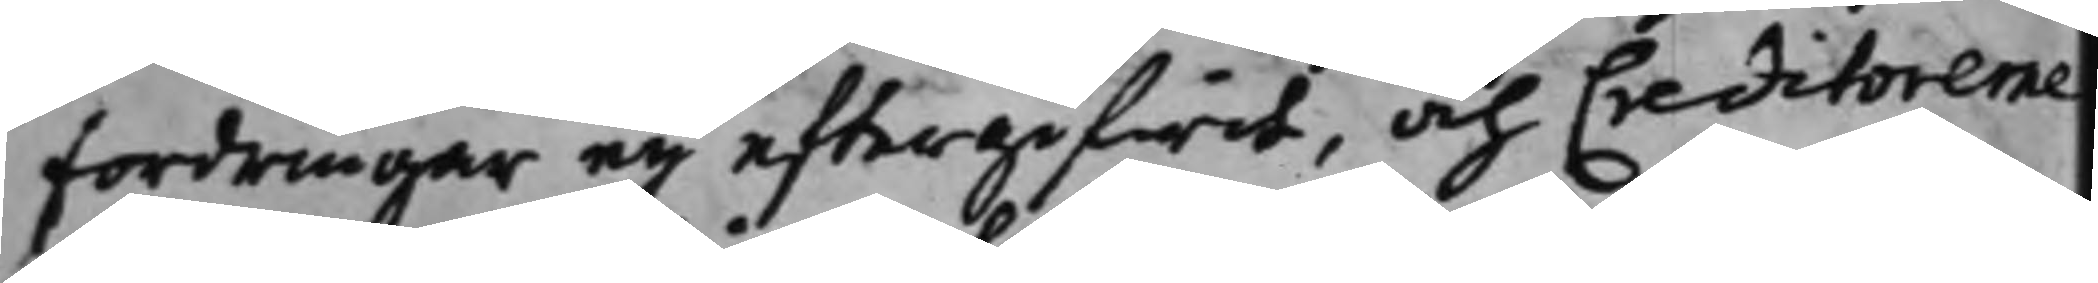fordringar eij eftergifwit, och Creditorerne
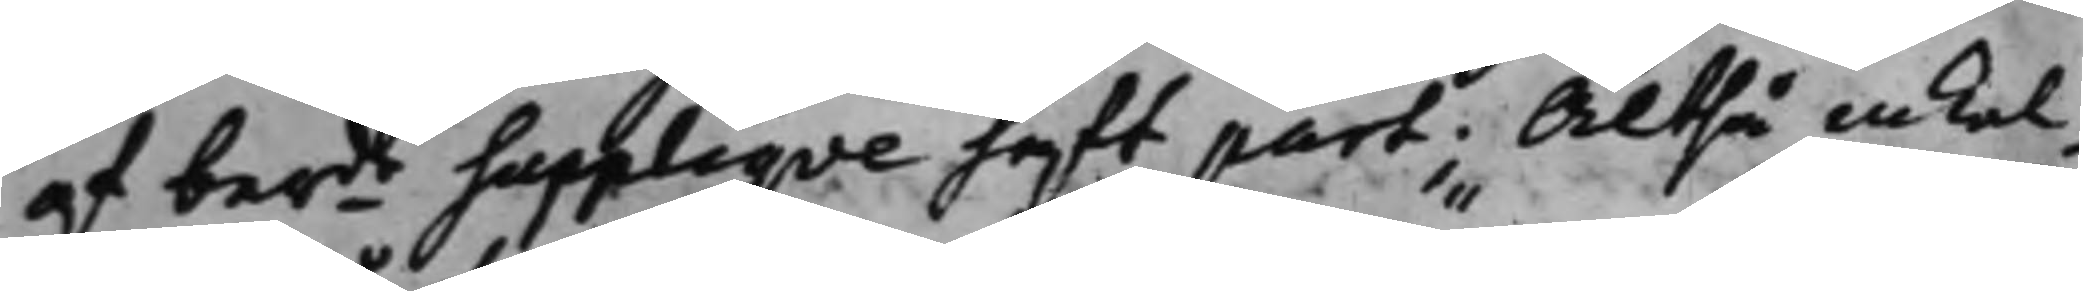af berde Suppliqve haft part; Altså inkal¬ 
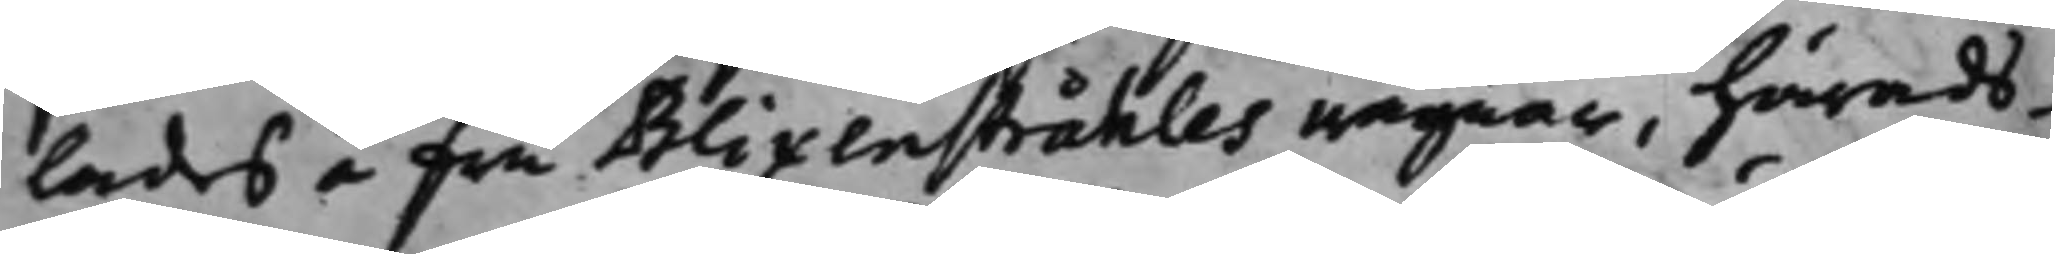lades å fru Blixenstråhles wägnar, härads¬
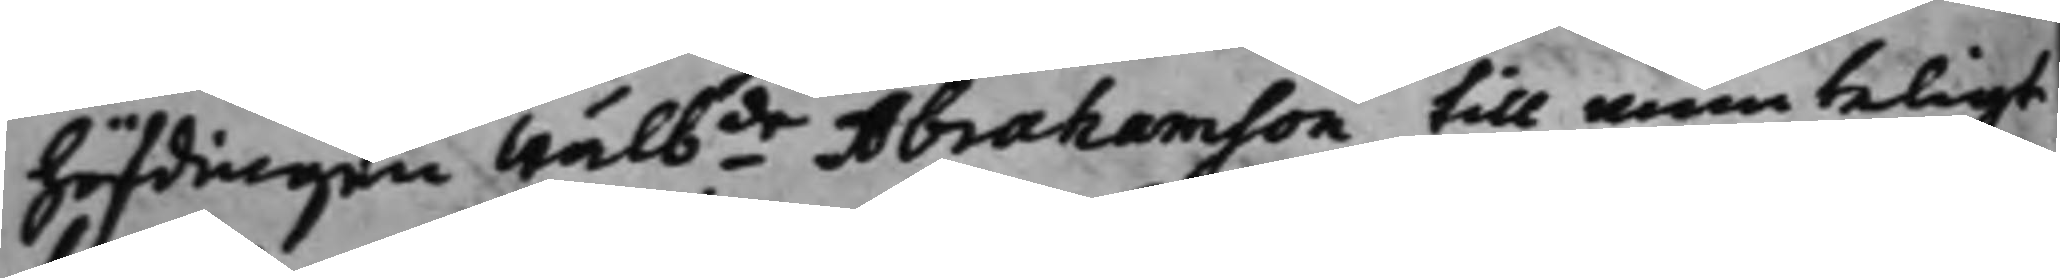höfdingen Wälbde Abrahamson till munteligt
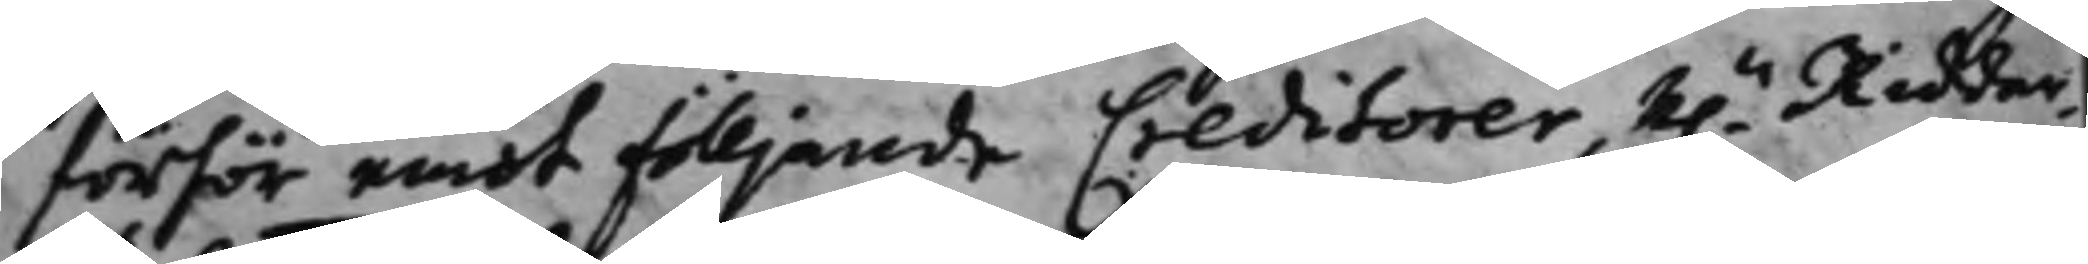förhör emot fölljande Creditorer, H.r Riddar¬
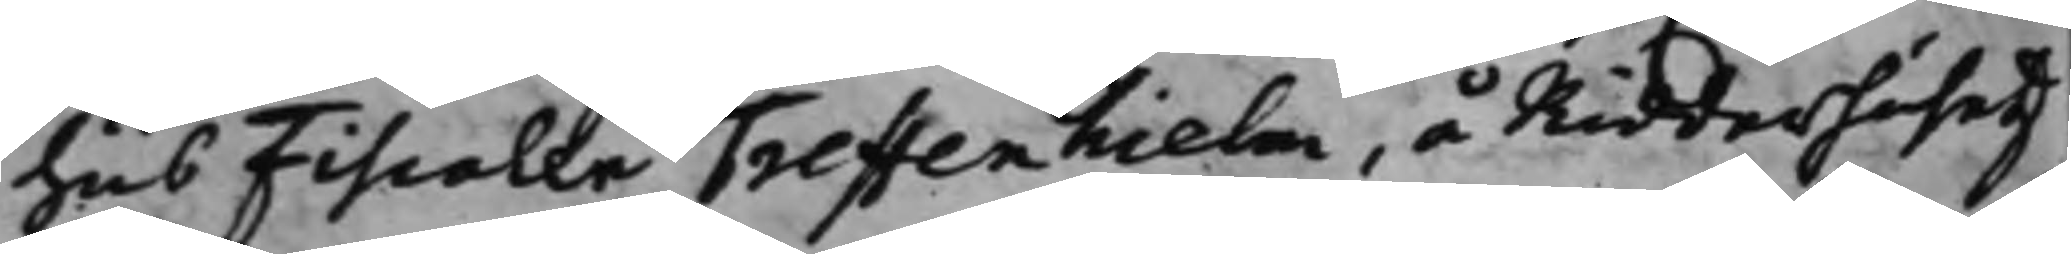hus Fiscalen Treffenhielm, å Ridderhusetz
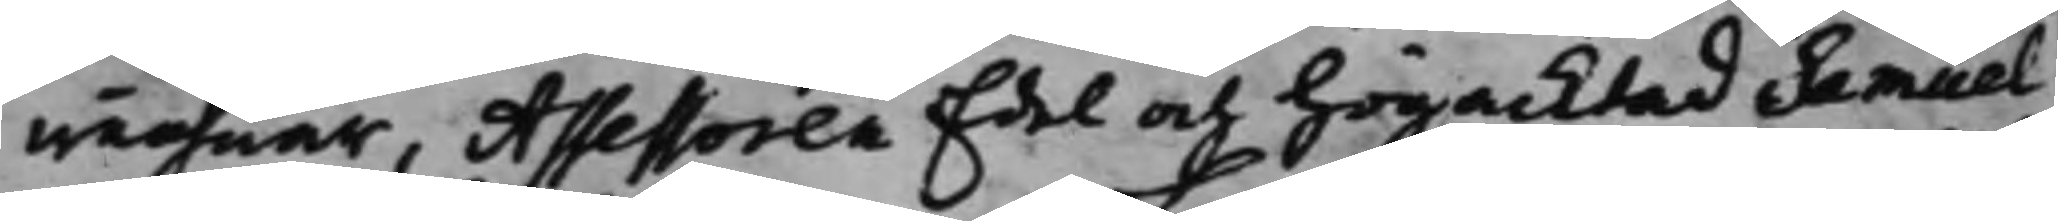wägnar, Assessoren Edel och Högacktad Samuel
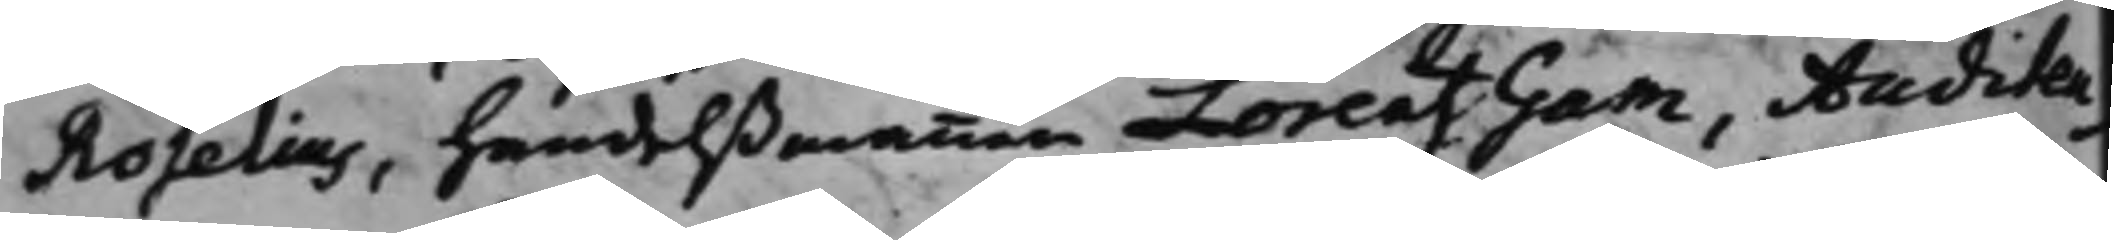Roselius, handelßmannen Lorentz Gam, Auditeu¬
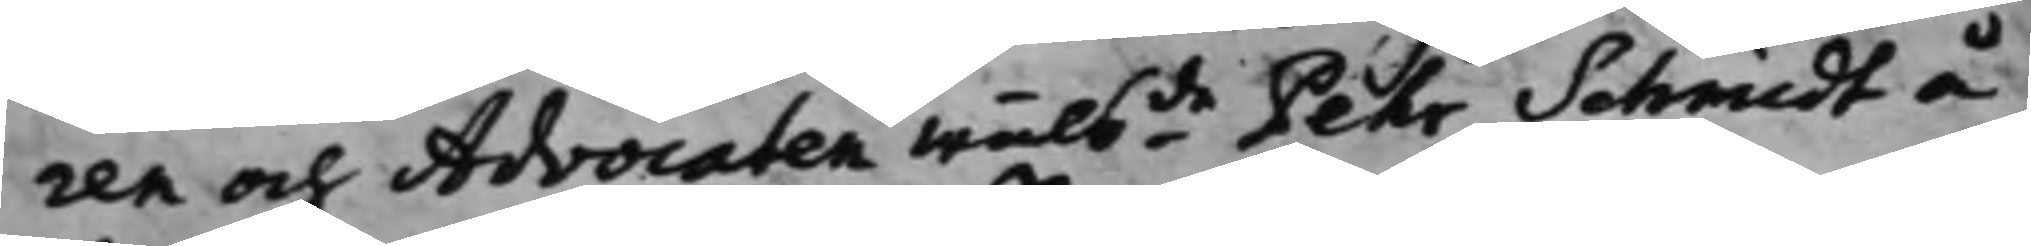ren och Advocaten Wälbde Pehr Schmidt å
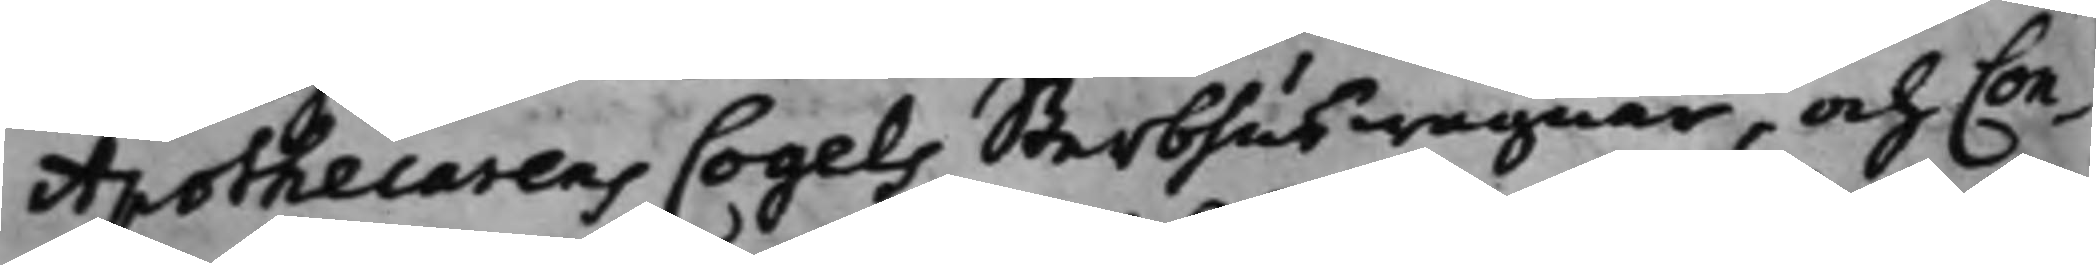Apothecarens Cogels Sterbhus wägnar, och Con¬
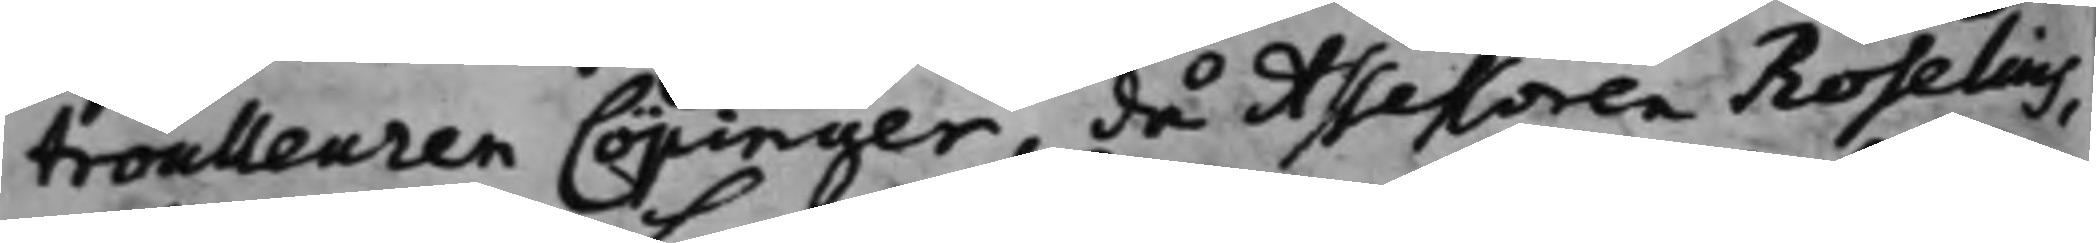troulleuren Cöpinger, då Assessoren Roselius,
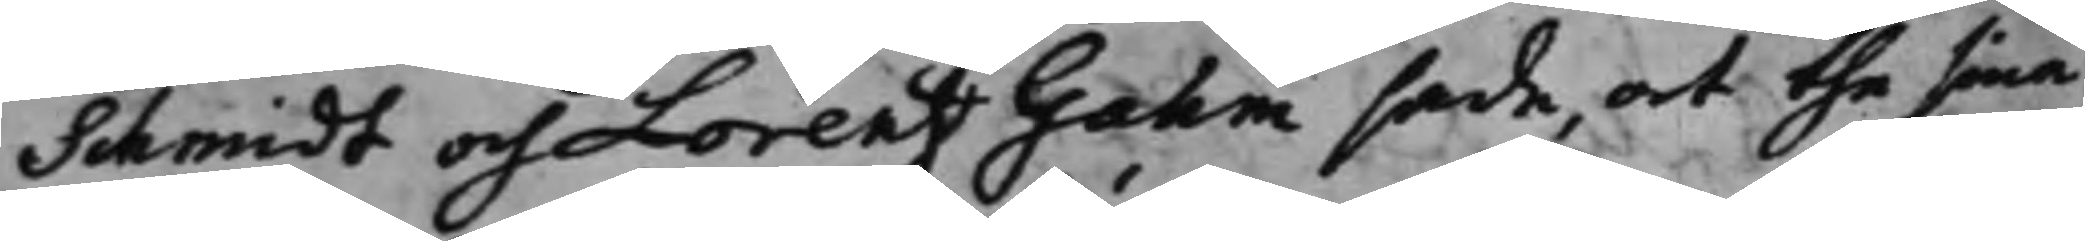Schmidt och Lorentz Gahm sade, at the sina
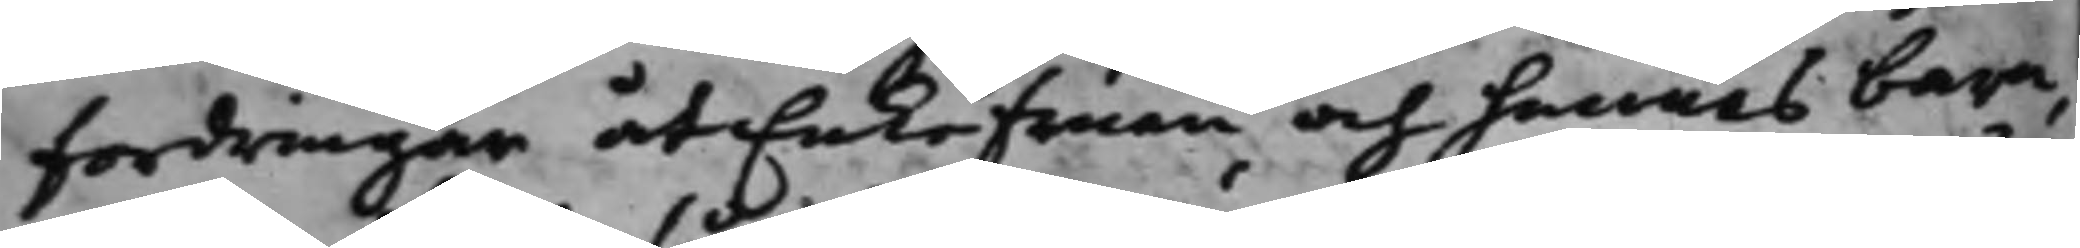fordringar åt Enko fruen och hennes barn,
